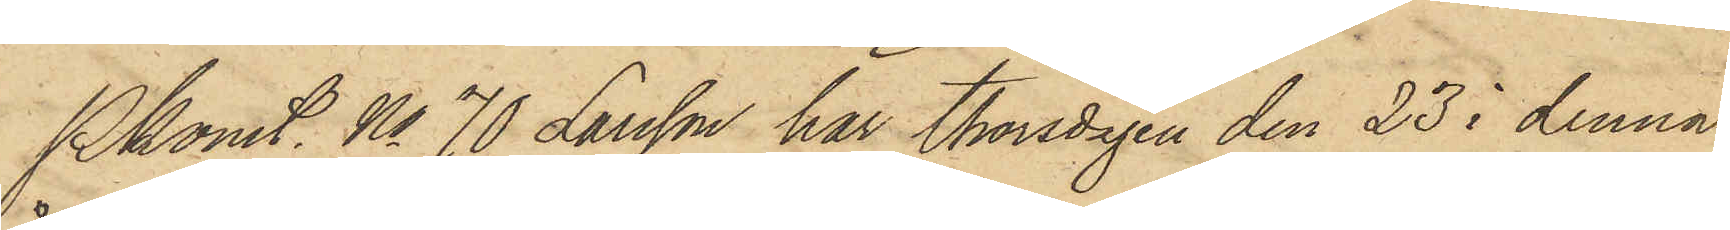Pkonst. No 70 Larsson har Thorsdagen den 23 i denna
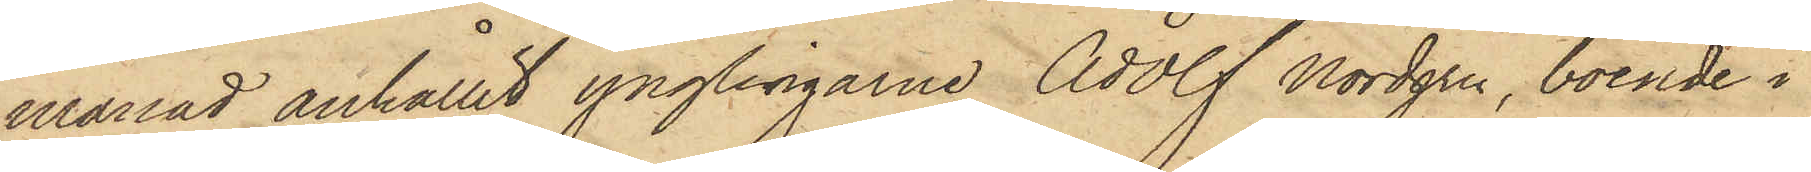månad anhållit ynglingarne Adolf Nordgren, boende i
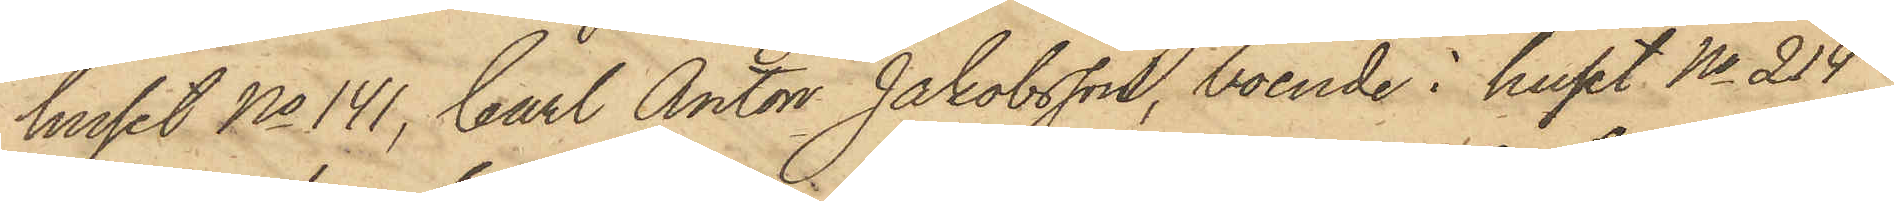huset No 141, Carl Anton Jakobsson, boende i huset No 214
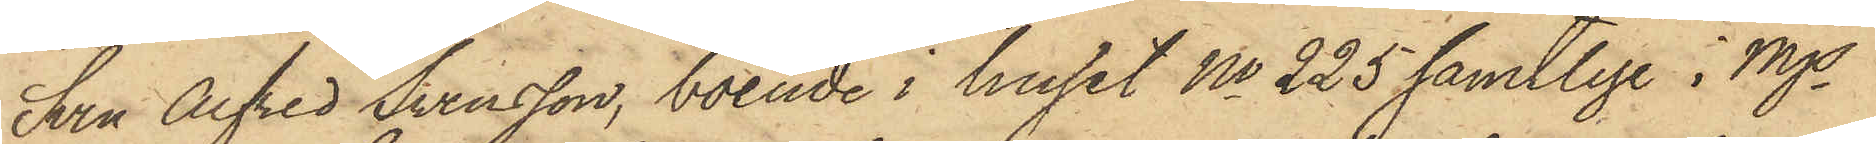Sven Alfred Svensson, boende i huset No 225 samtlige i Mjs
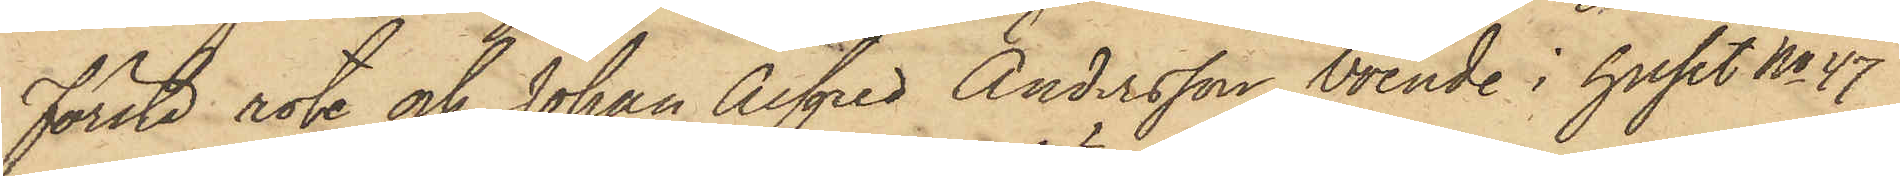första rote och Johan Alfred Andersson, boende i huset No 47
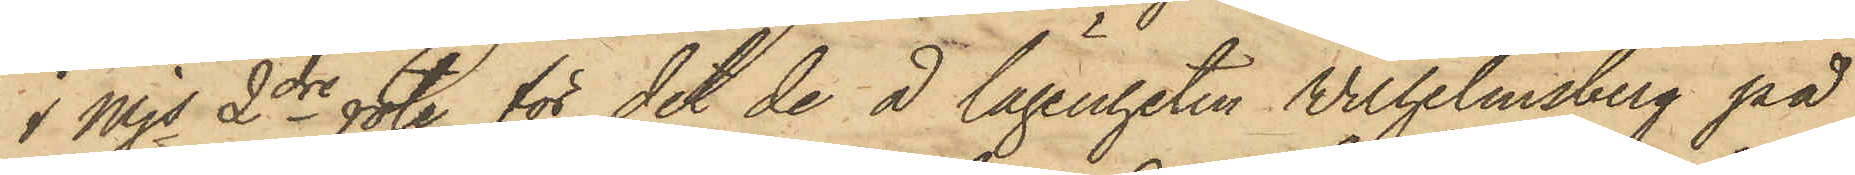i Mjs 2dre rote, för det de å lägenheten Wilhelmsberg på
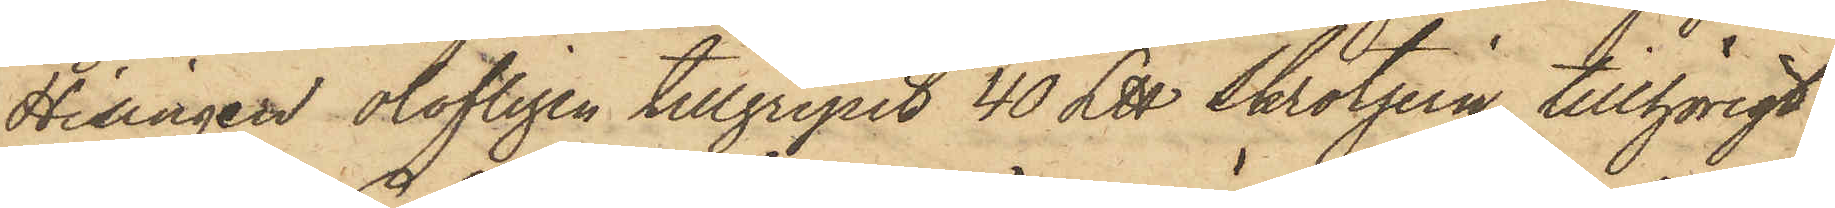Hisingen olofligen tillgripit 40 L℔ Skrotjern, tillhörigt
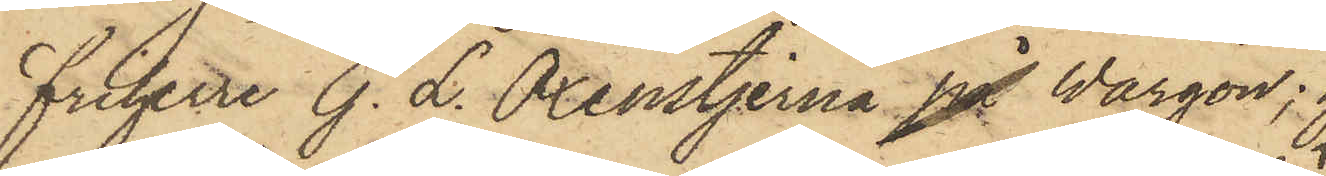friherre G. L. Oxenstjerna på Wargön;
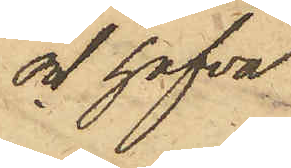och hafva
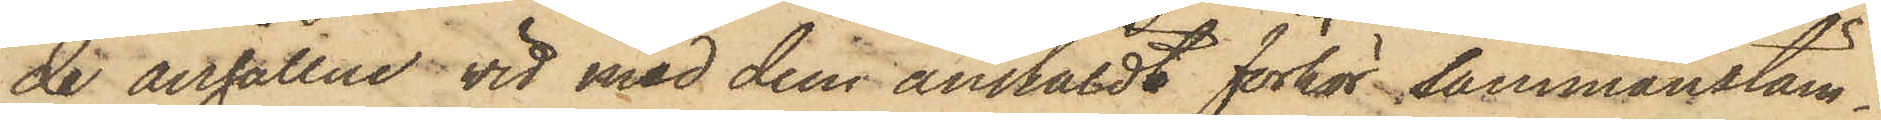de anhållne vid med dem anstäldt förhör sammanstäm¬
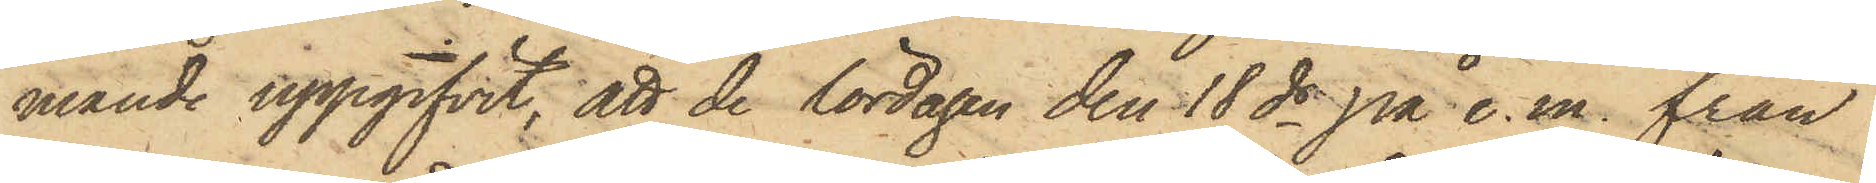mande uppgifvit, att de lördagen den 18 ds på e.m. från
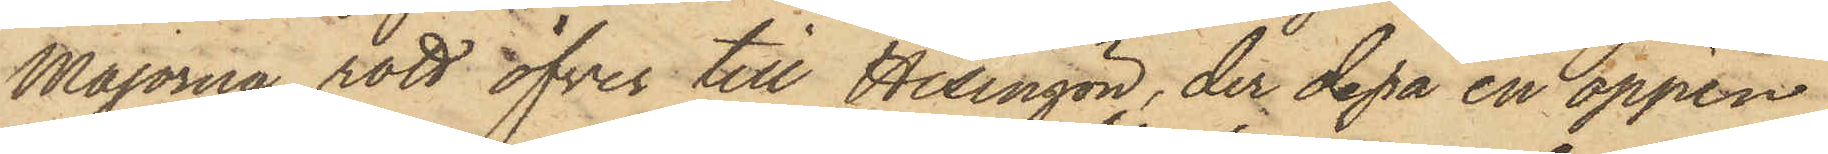Majorna rott öfver till Hisingön, der de på en öppen
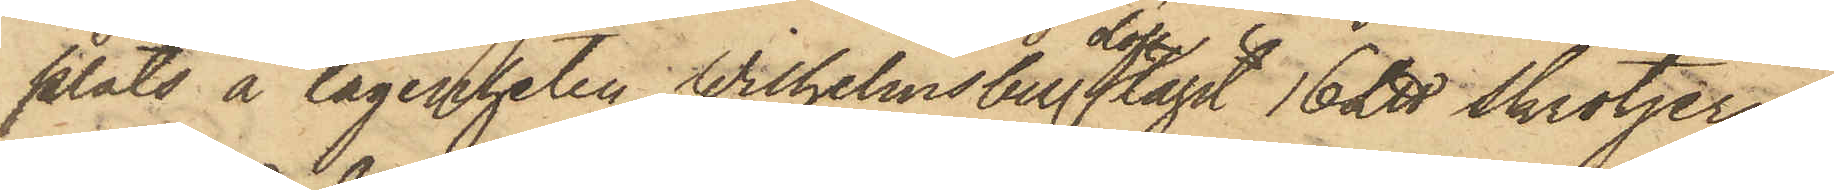plats å lägenheten Wilhelmsberg olofl. tagit 16 L℔ Skrotjern
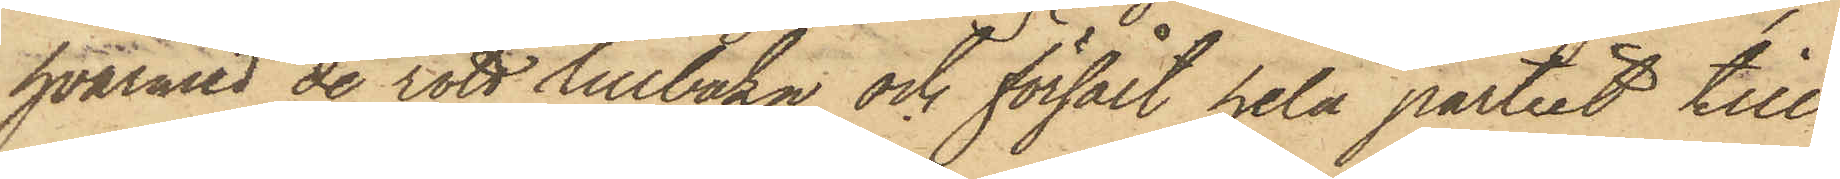hvarmed de rott tillbaka och försålt hela partiet till
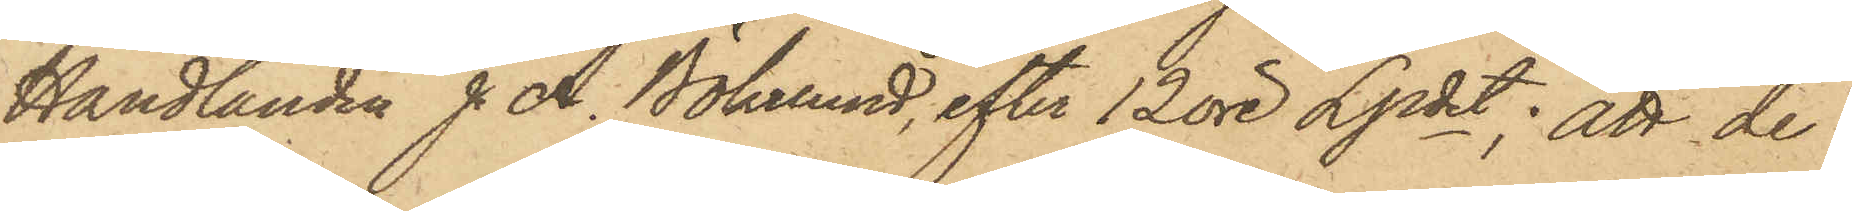Handlanden J. A. Bökelund, efter 12 öre Lpdet; att de
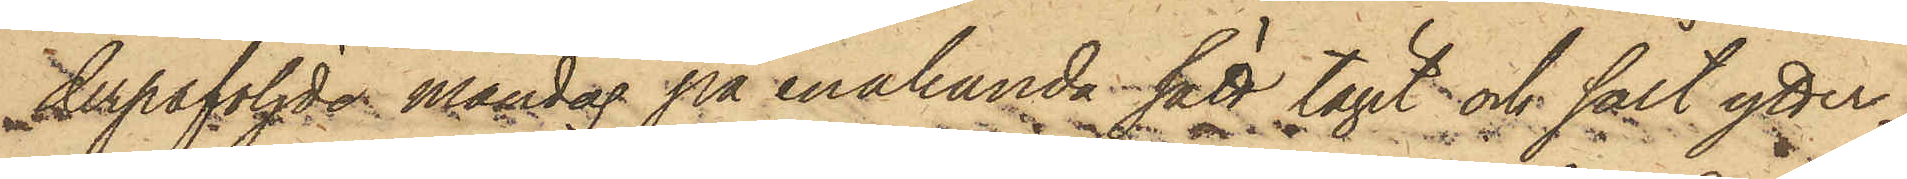derpåföljde måndag på enahanda sätt tagit och sålt ytter¬
